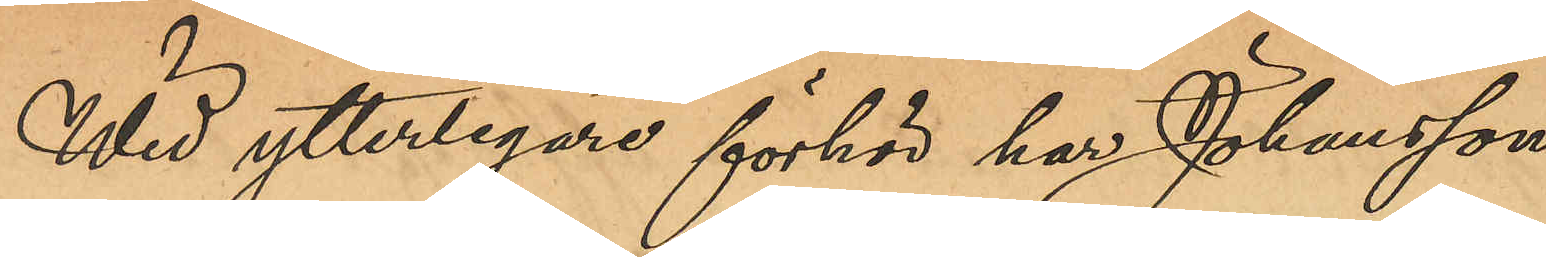Wid ytterligare förhör har Johansson
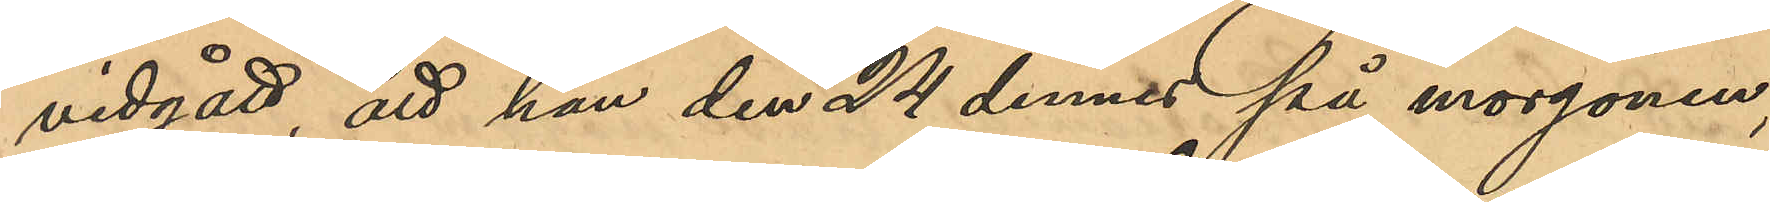vidgått, att han den 24 dennes på morgonen,
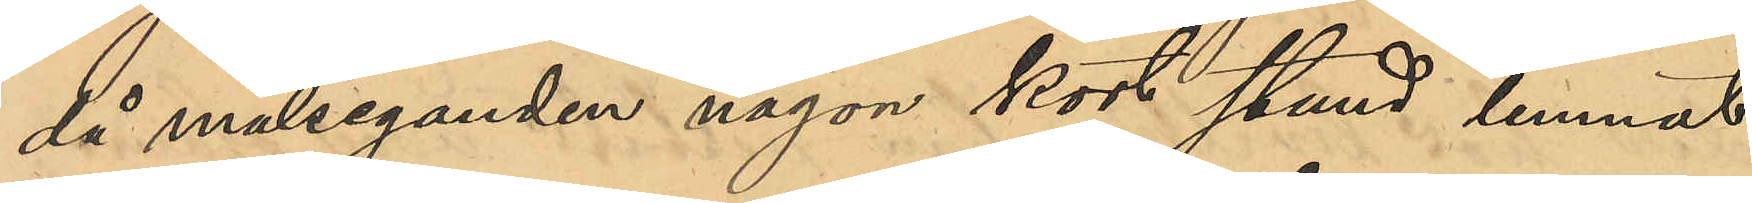då målseganden någon kort stund lemnat
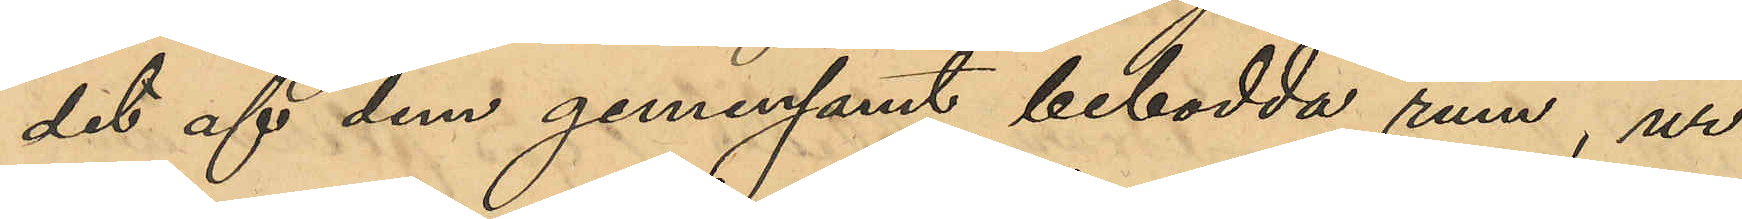det af dem gemensamt bebodda rum, ur
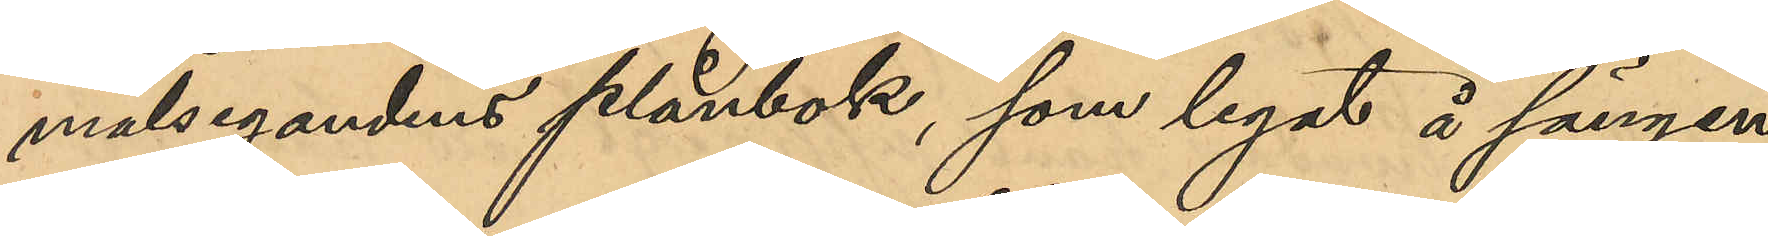målsegandens plånbok, som legat å sängen,
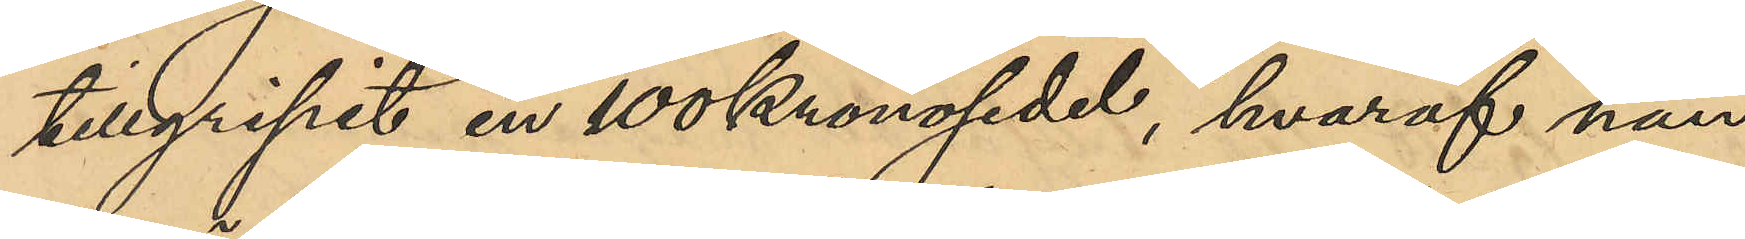tillgripit en 100Kronosedel, hvaraf han
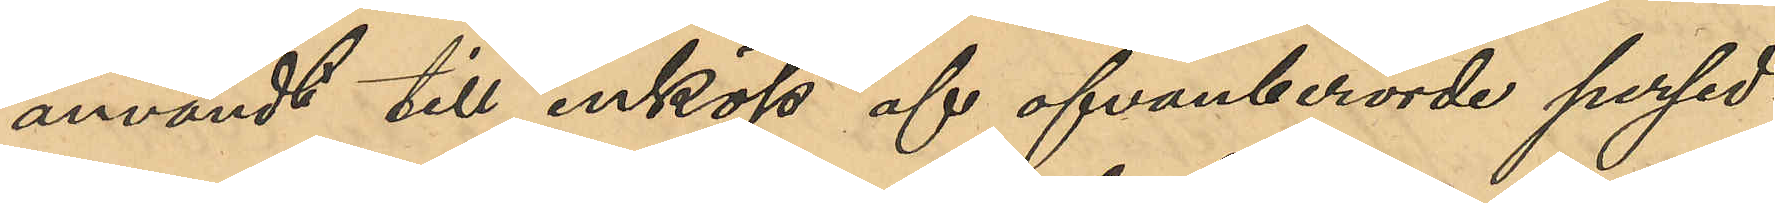användt till inköp af ofvanberörde persed¬
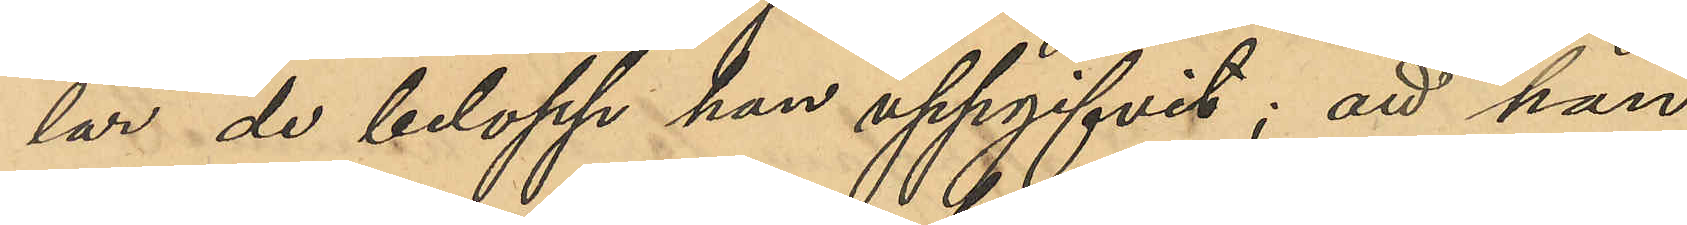lar de belopp han uppgifvit; att han
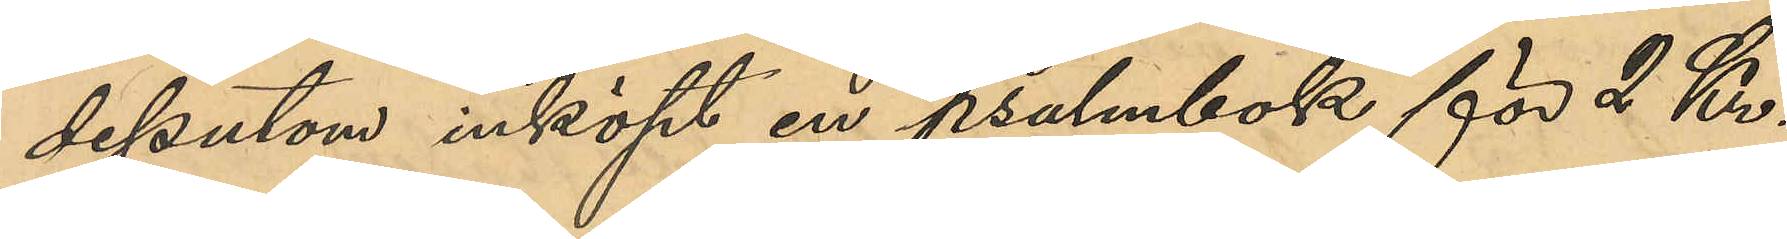dessutom inköpt en psalmbok för 2 Kr.,
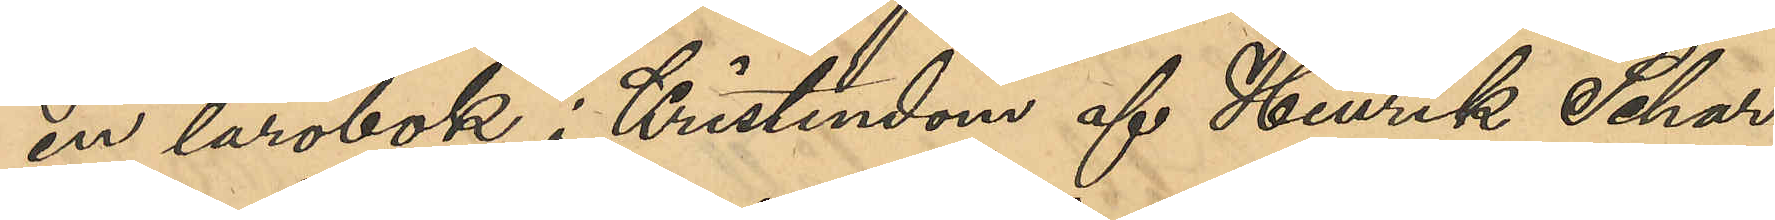en lärobok i Kristendom af Henrik Schar¬
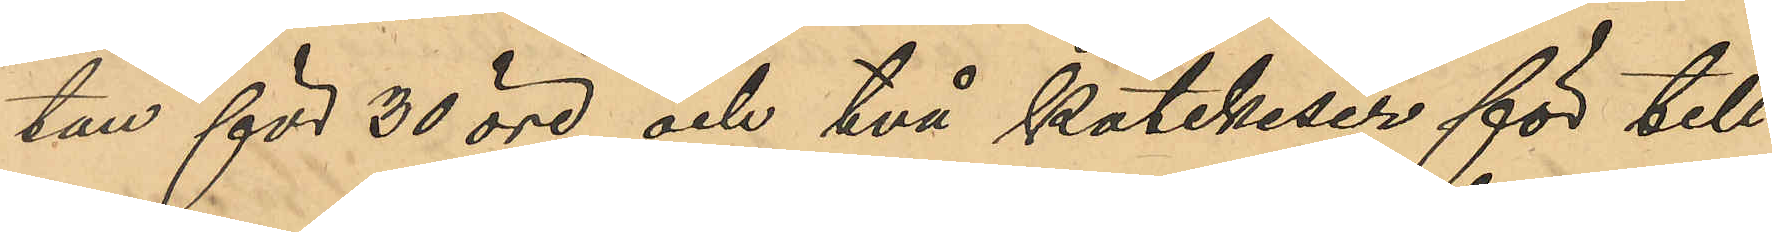tau för 30 öre och två katekeser för till¬
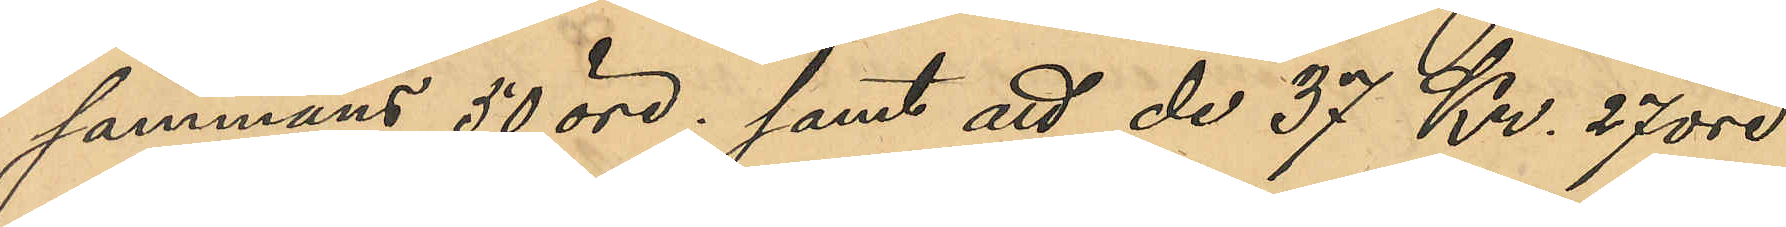sammans 50 öre; samt att de 37 Kr. 27 öre
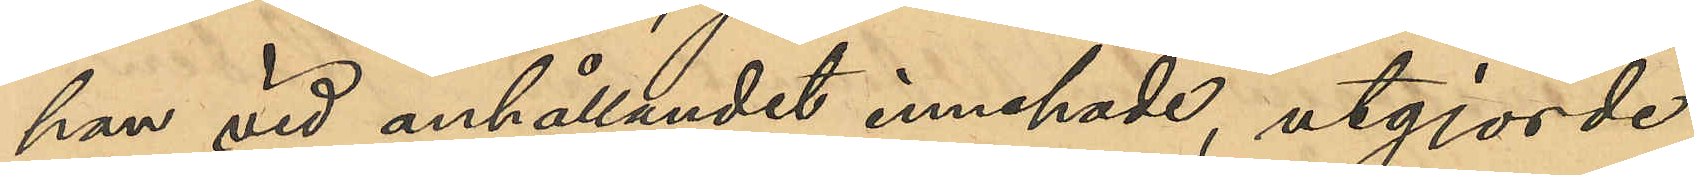han vid anhållandet innehade, utgjorde
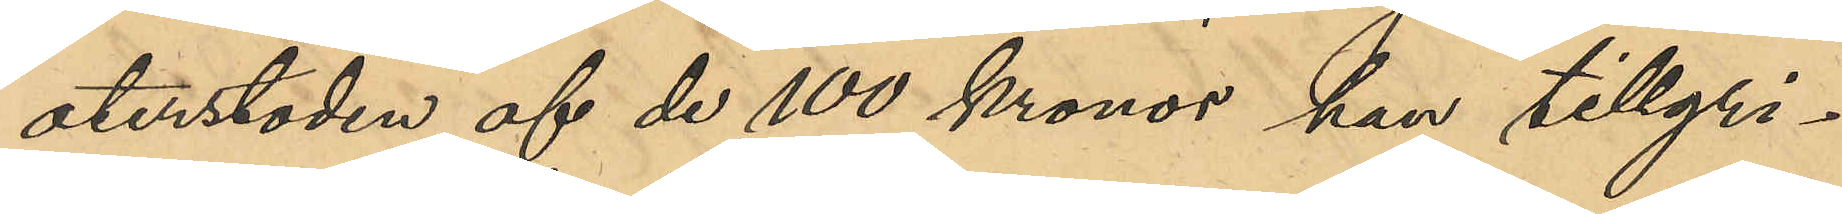aterstoden af de 100 Kronor han tillgri¬
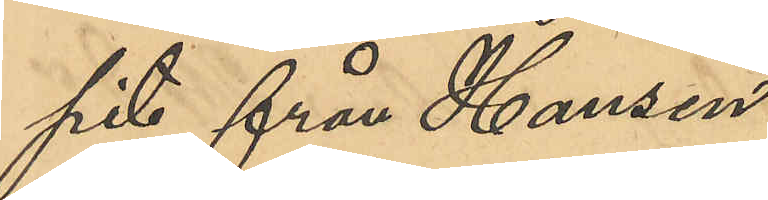pits från Hansen.
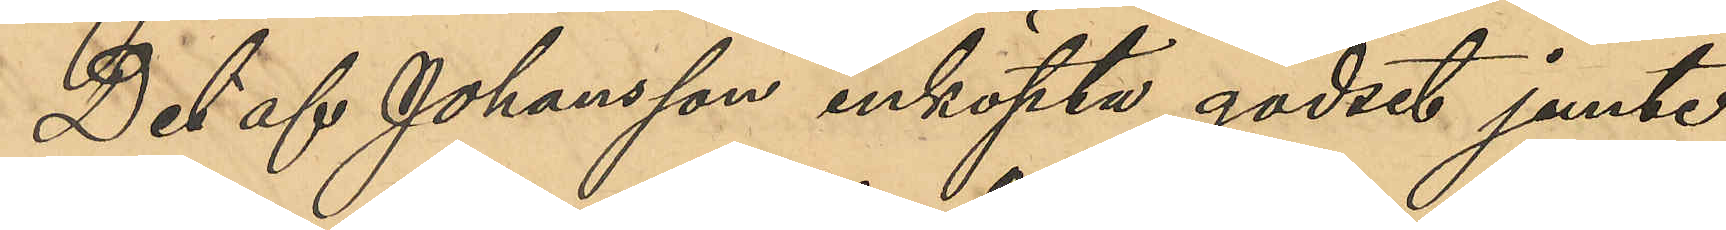Det af Johansson inköpte godset jemte
